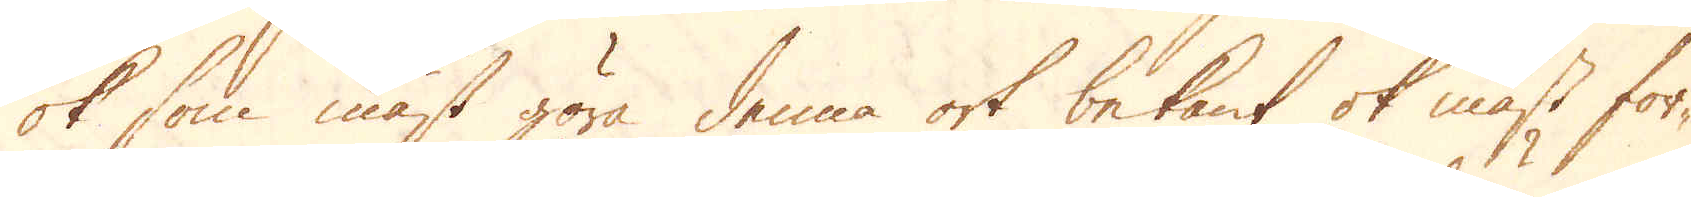ok som mäst göra denna ort bekant ok mäst för-
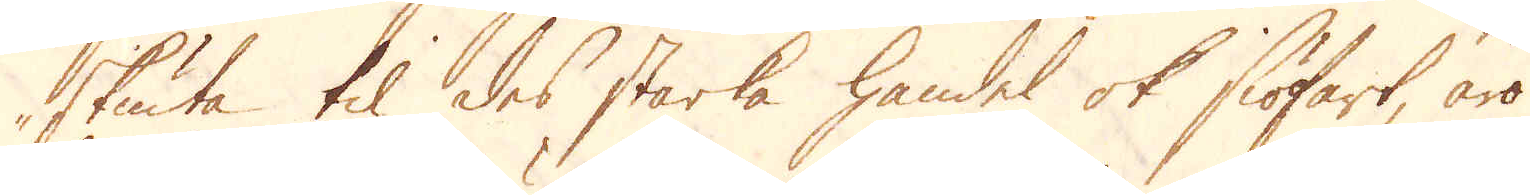skuta til des starka handel ok siöfart, äro
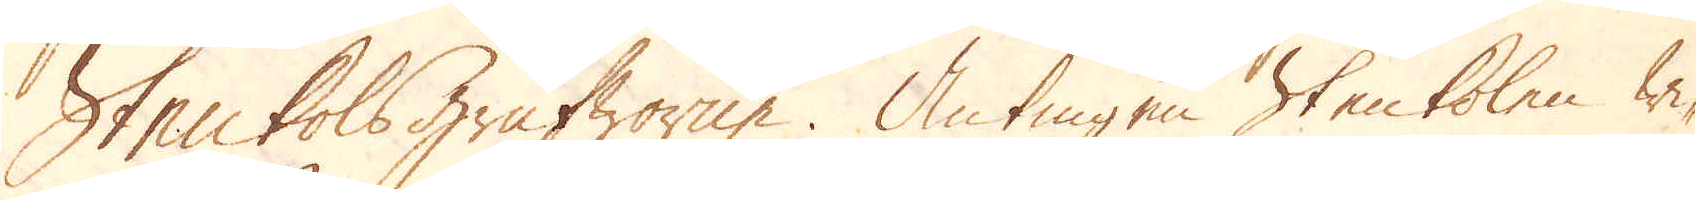Stenkolsgrufworne. Antingen stenkolen wi-
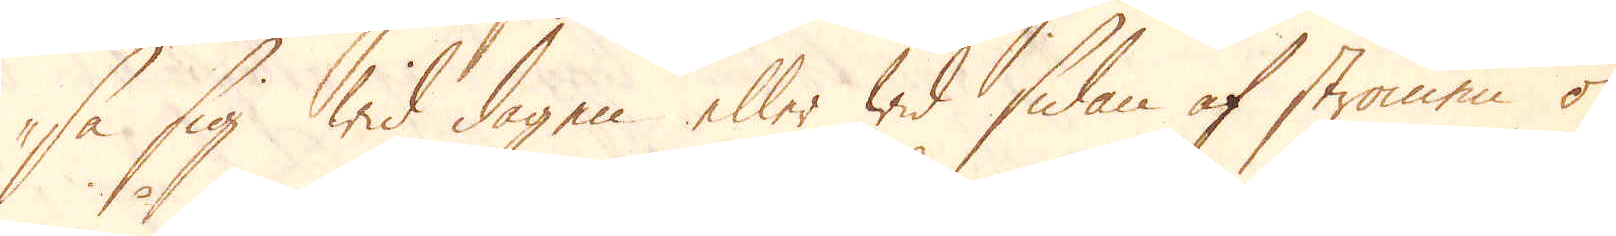sa sig wid dagen eller wid sidan af strömen ok
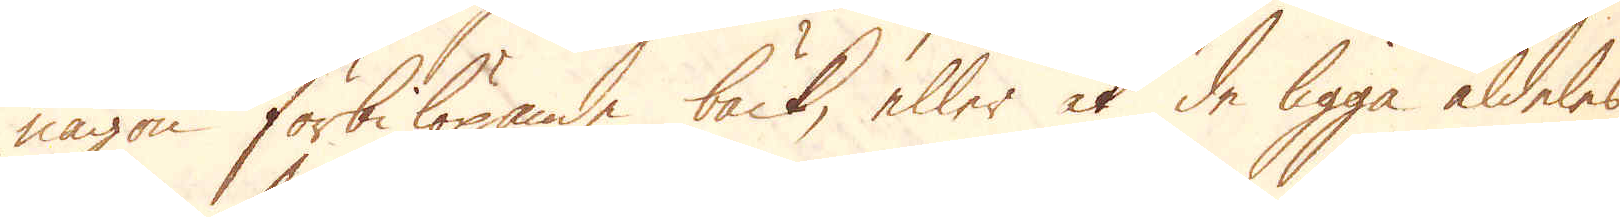någon förbilöpande bäck, eller at de ligga aldeles
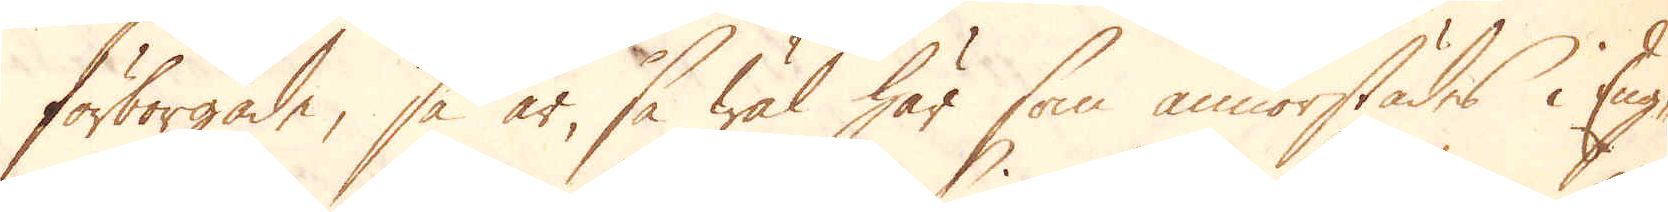förborgade, så är, så wäl här som annorstädes i Eng-
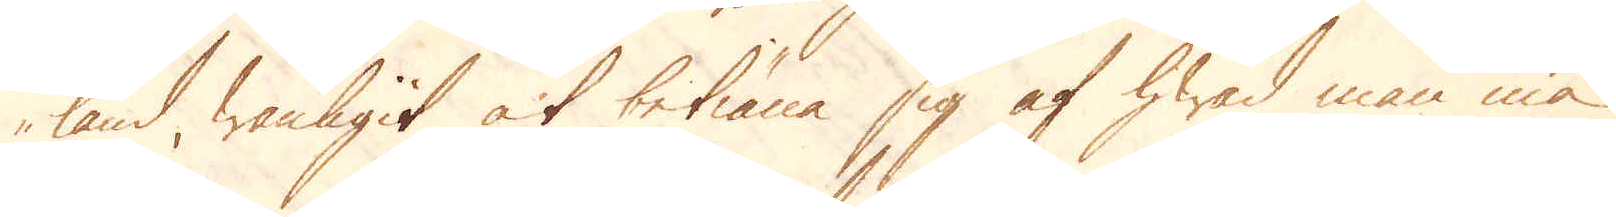land, wanligit at betiäna sig af hwad man må
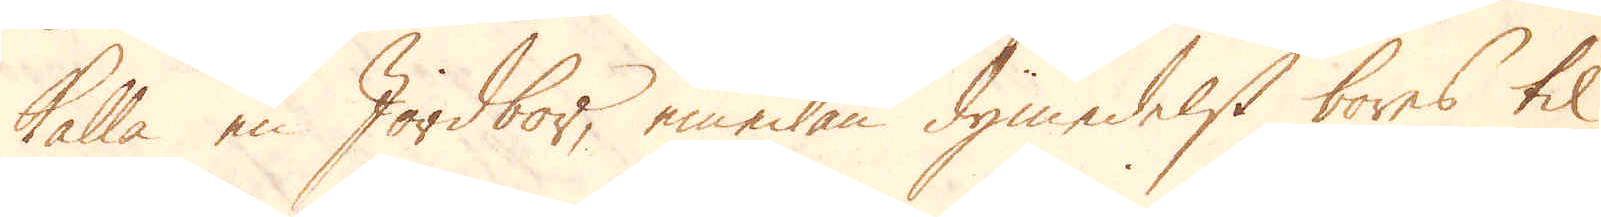kalla en Jordbor, emedan dymedelst bores til
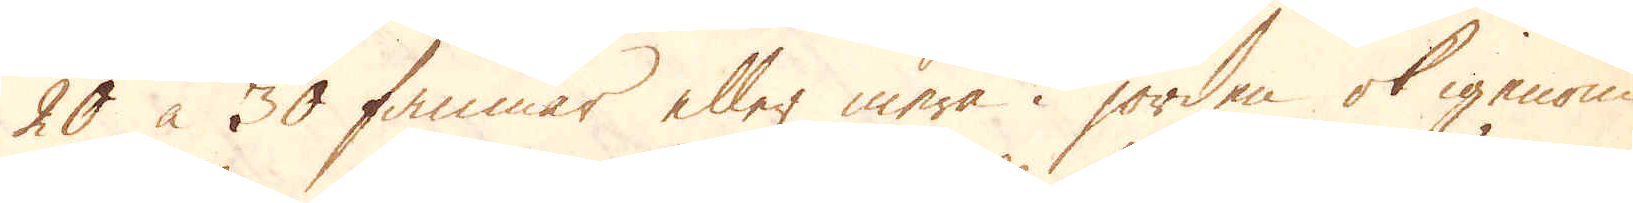20 à 30 famnar eller mera i jorden ok igenom
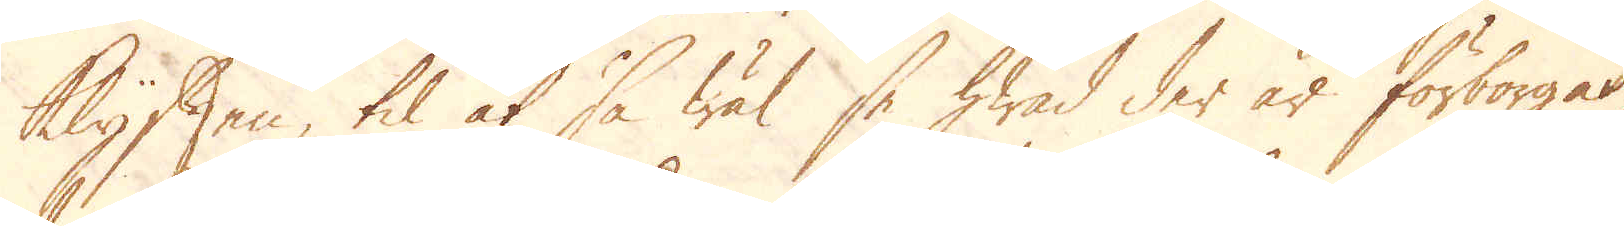Klyften, til at så wäl se hwad der är förborgat,
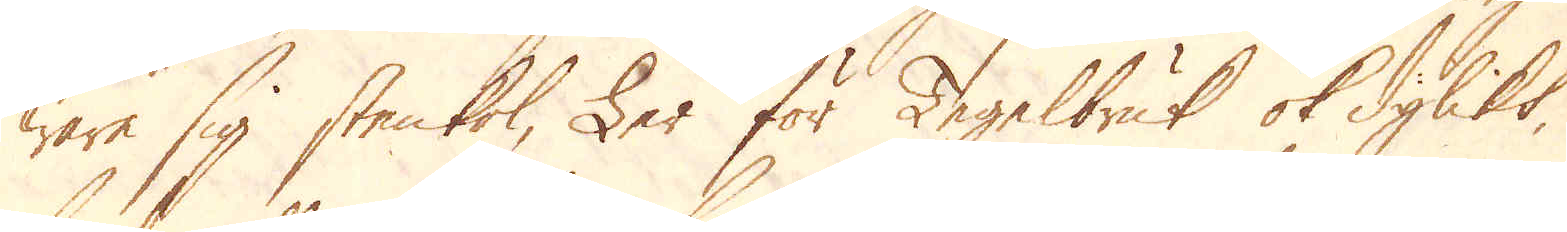ware sig stenkol, Ler för Tegelbruk ok dylikt,
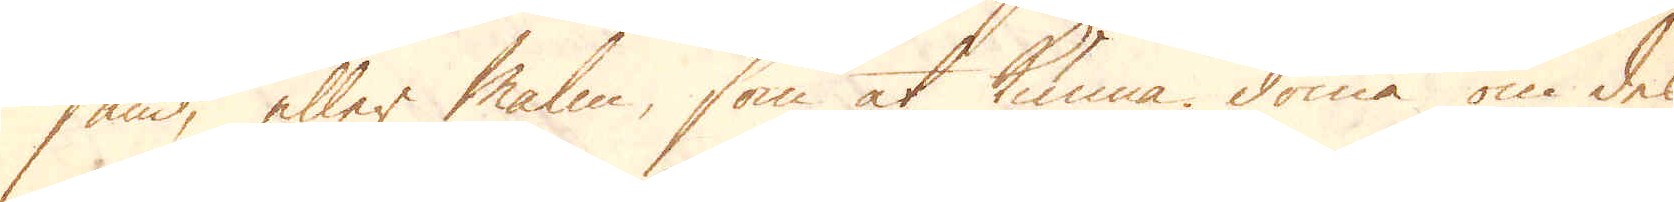sand, eller malm, som at kunna döma om des
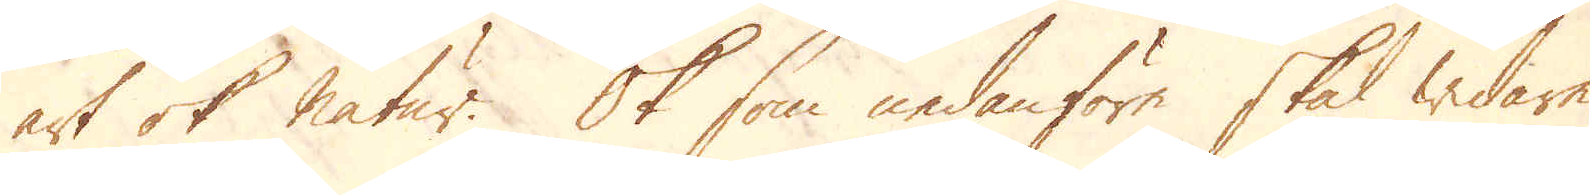art ok natur. Ok som nedanföre skal widare
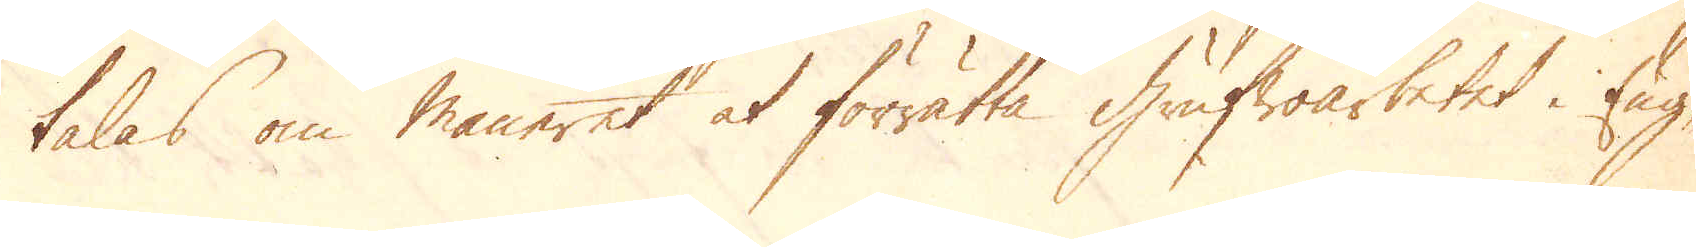talas om maneret at förrätta grufwoarbetet i Eng-
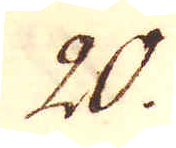20.
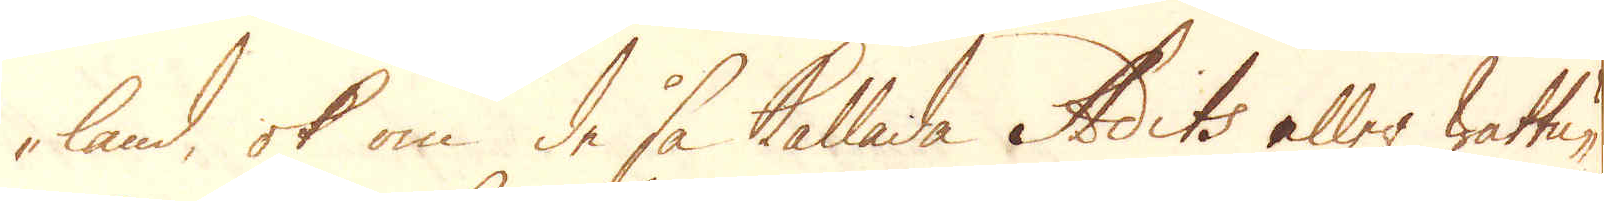-land, ok om de så kallade Stocks eller wattu-
